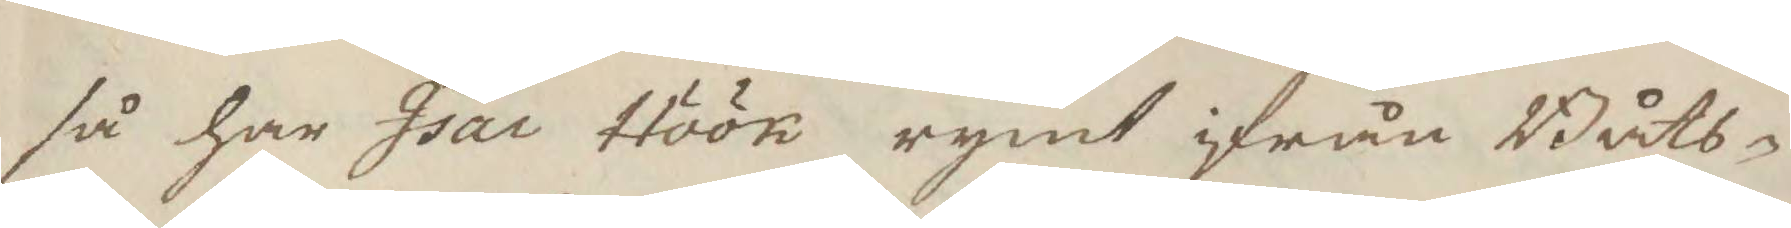så har Isac Höök rymt ifrån Båts¬
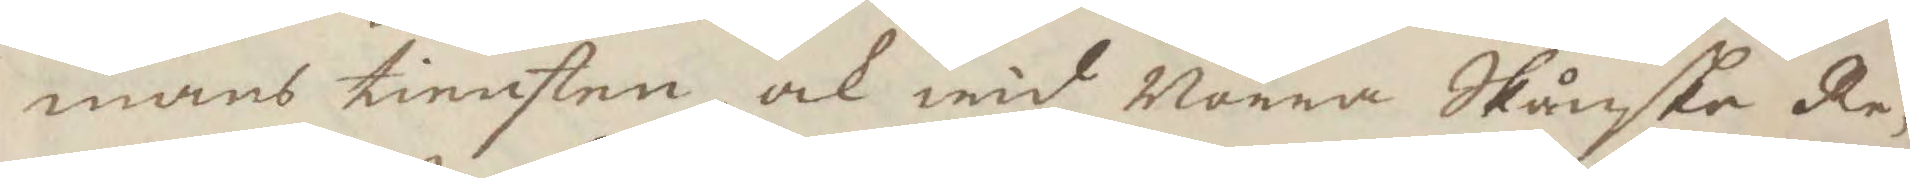mans tiensten, ock wid Norra Skånske Re¬
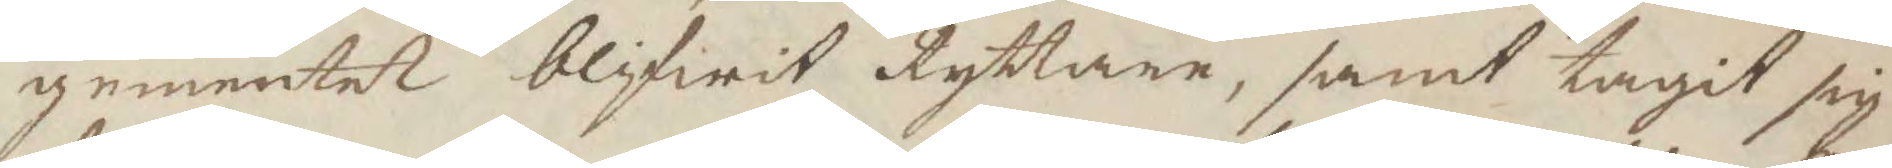gementet blifwit Ryttare, samt tagit sig
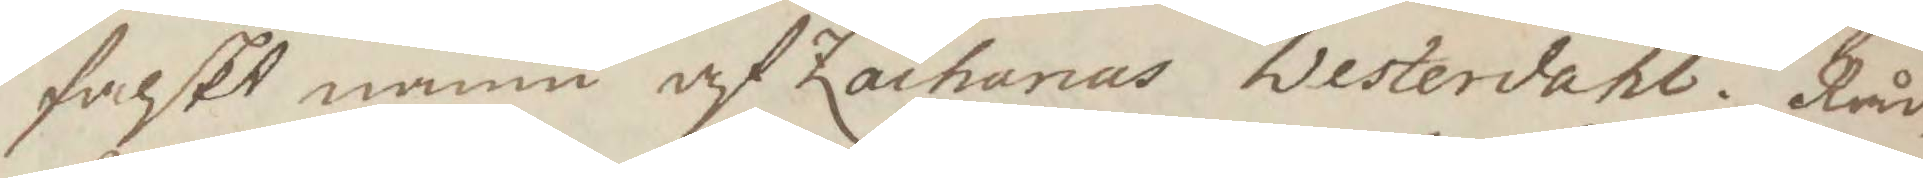falskt namn af Zacharias Westerdahl. Råd¬
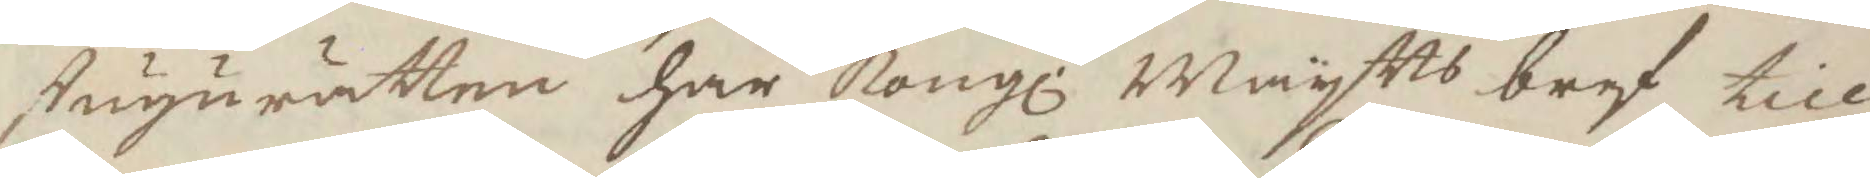stugurätten har Kongl. Maytts bref till
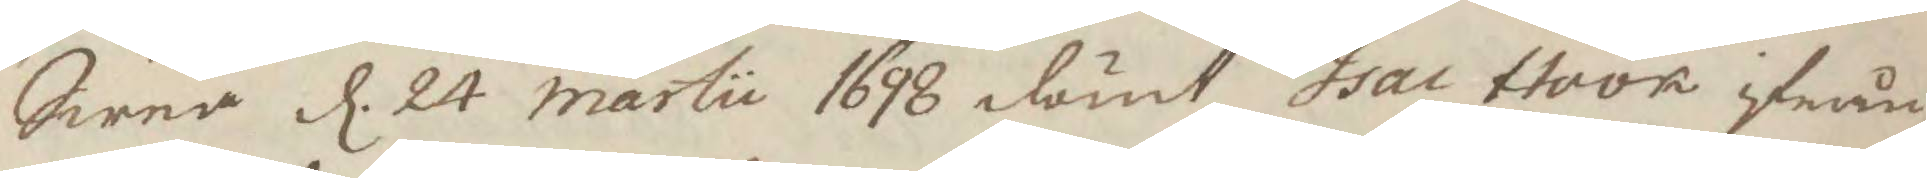Swea d. 24 martii 1698 dömt Isac Hook ifrån
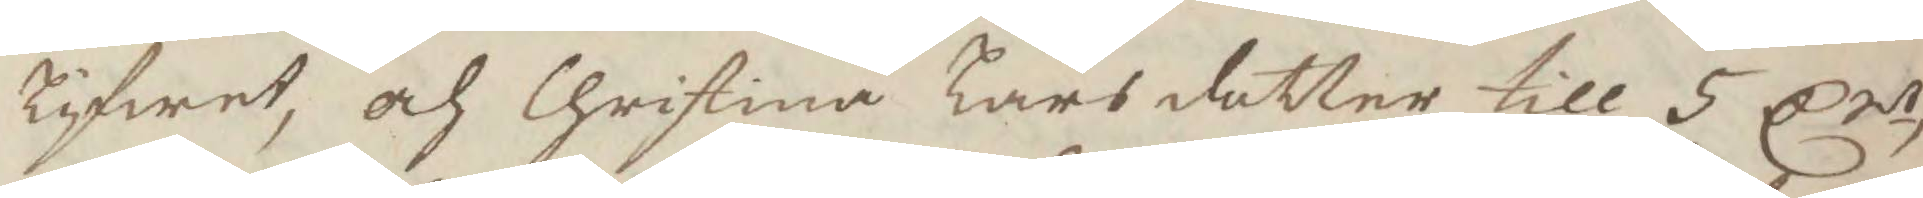lifwet, och Christina Larsdotter till 5 Crst
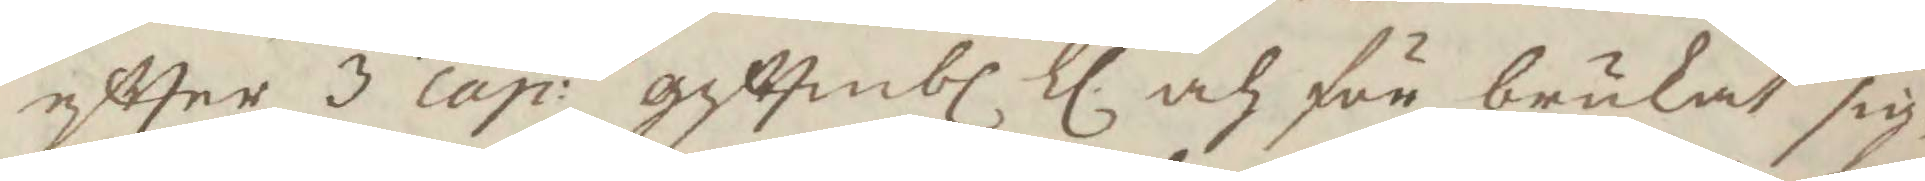eftter 3 cap: gifttermbl ll. och för brukat sig¬ 
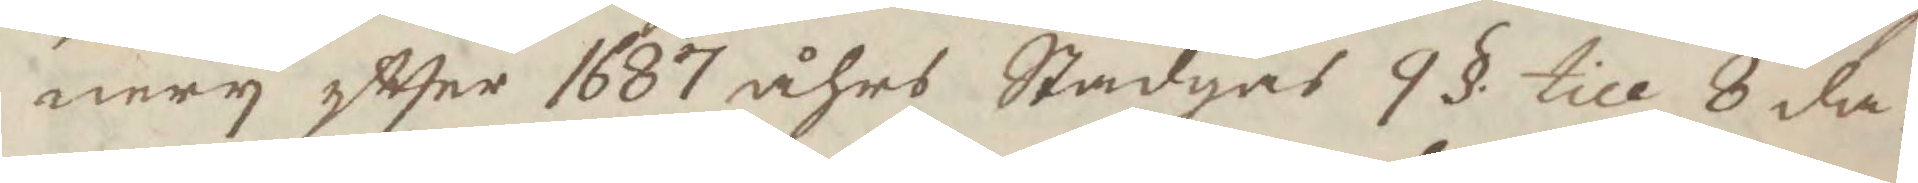nery eftter 1687 åhrs Stadgar 9 § till 8 da¬
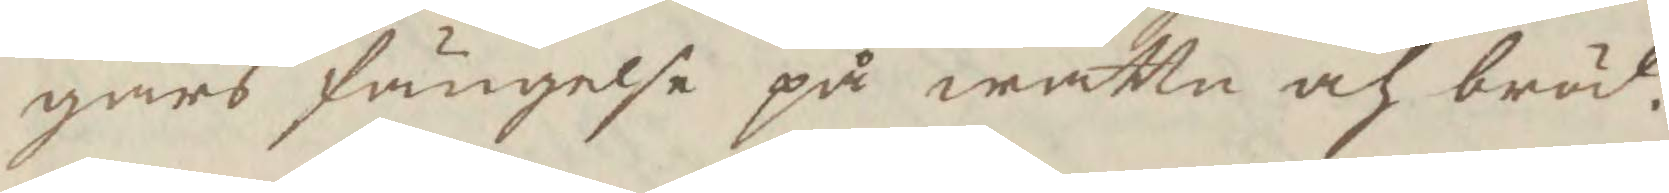gars fängelse på wattn och bröd.
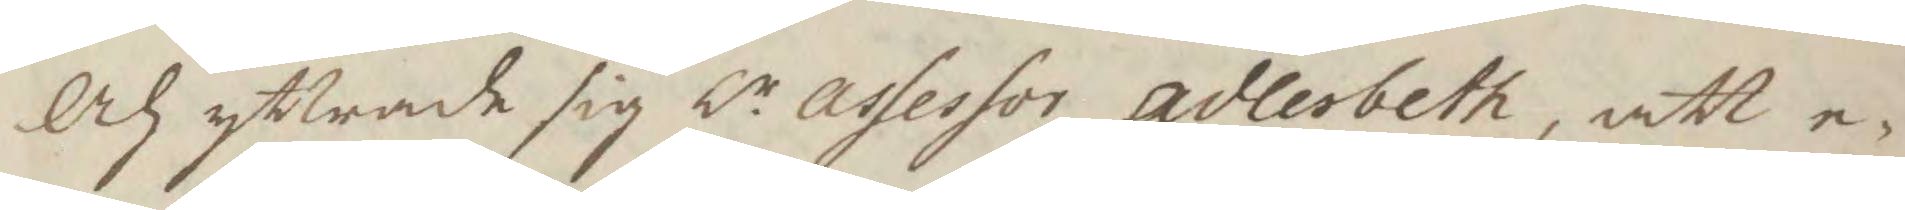Och yttrade sig hr assessor adlerbeth, att e¬
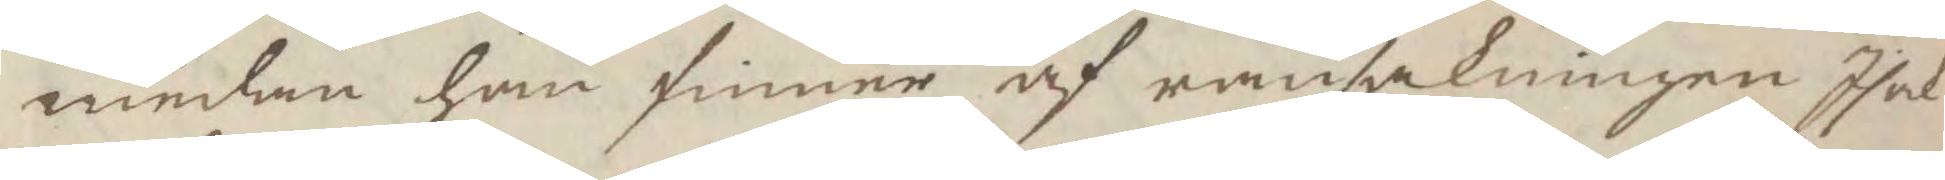medan han finner af ransakningen Isak
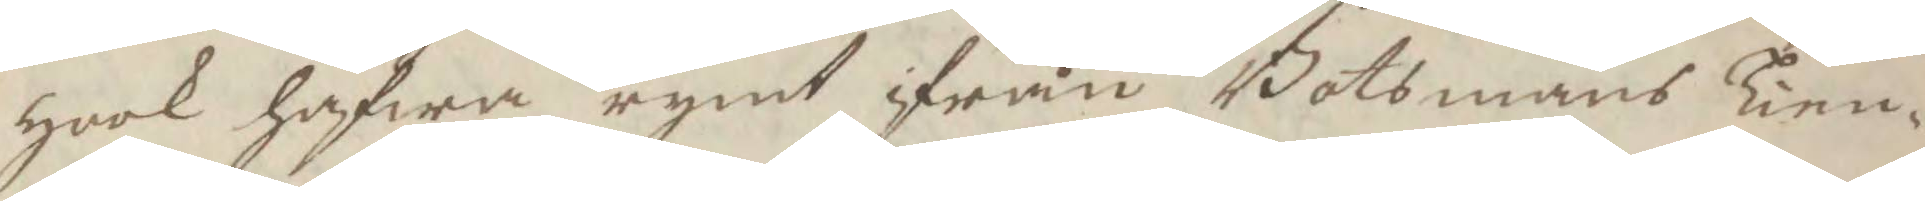Hook hafwa rymt ifrån Botsmans Tien¬
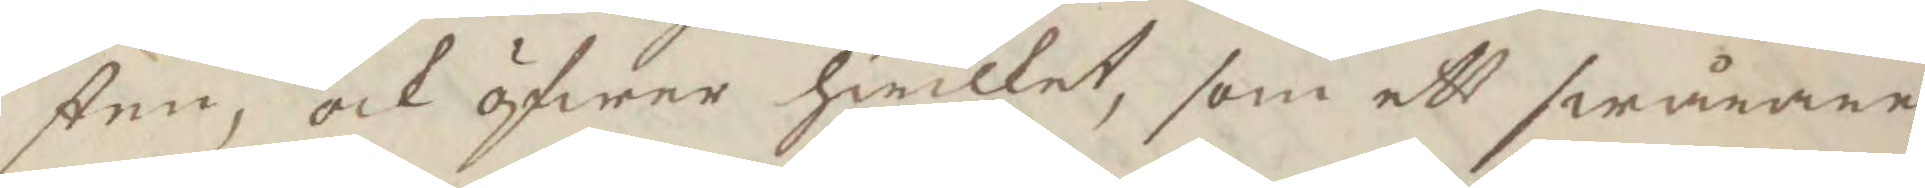sten, ock öfwer hwilket, som ett swårare
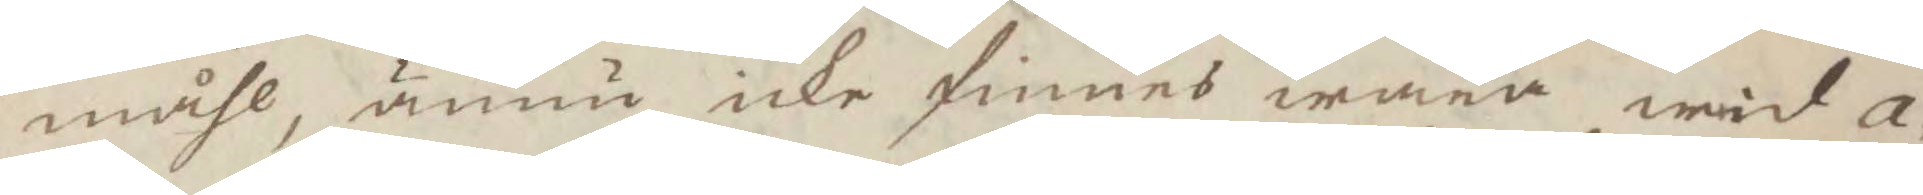måhl, ännu icke finnes wara wid a¬
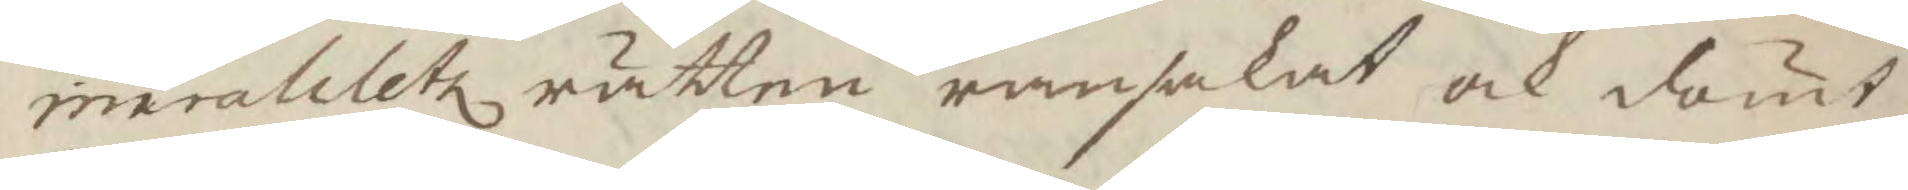miralitetz rätten ransakat och dömt,
